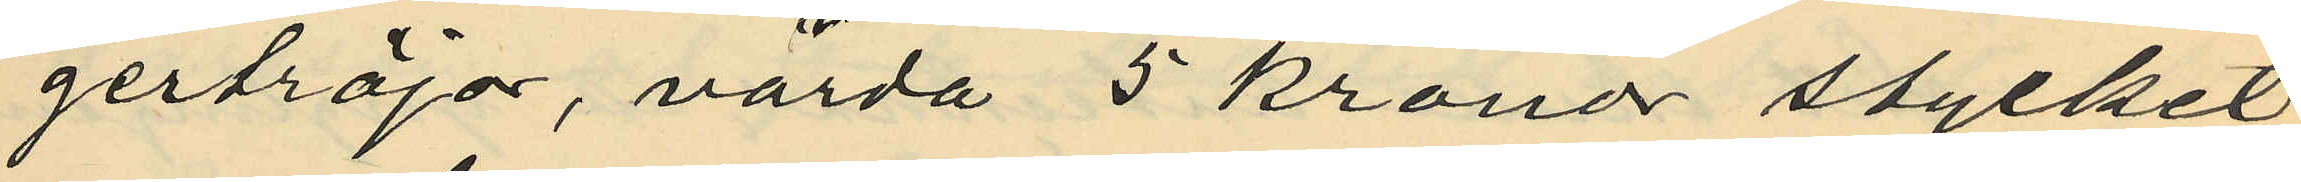gertröjor, värda 5 kronor stycket;
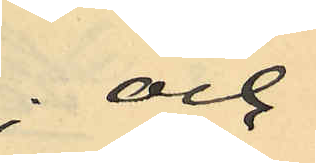och
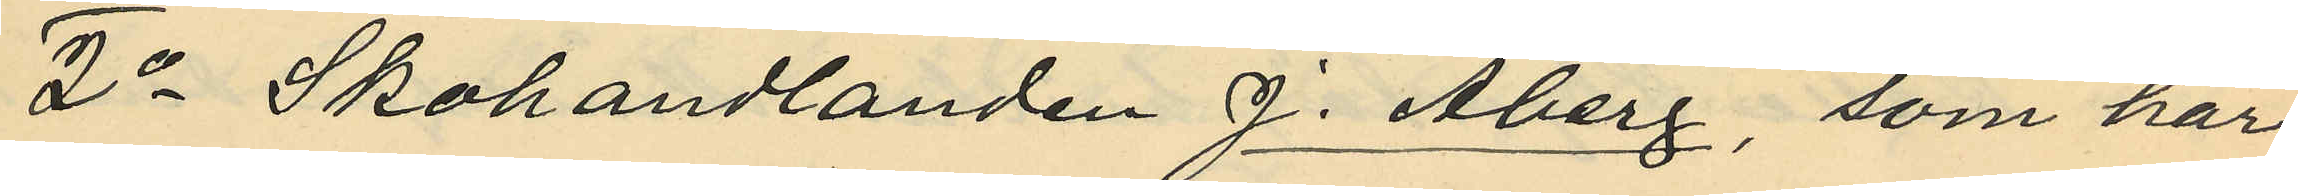2o Skohandlanden J. Åberg, som har
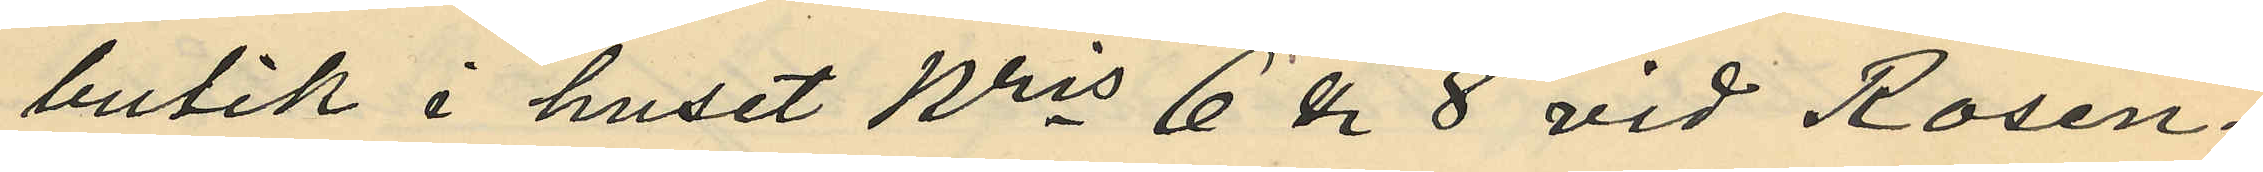butik i huset Nris 6 & 8 vid Rosen¬
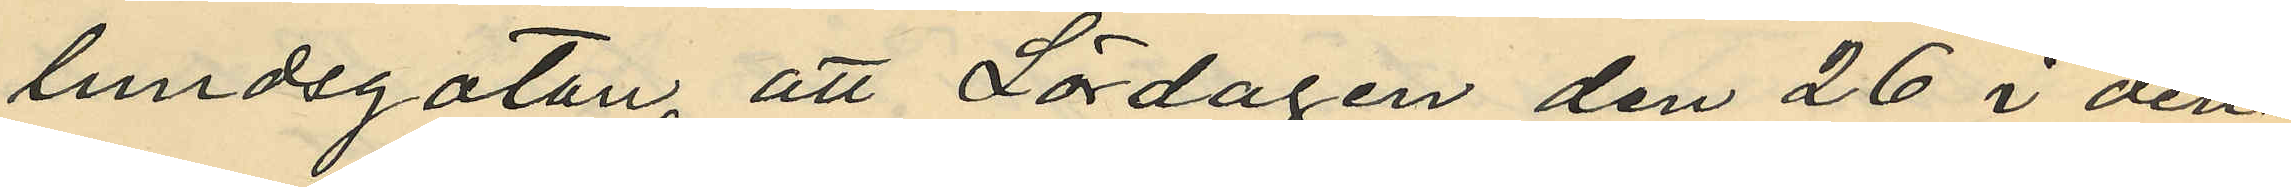lundsgatan, att Lördagen den 26 i den¬
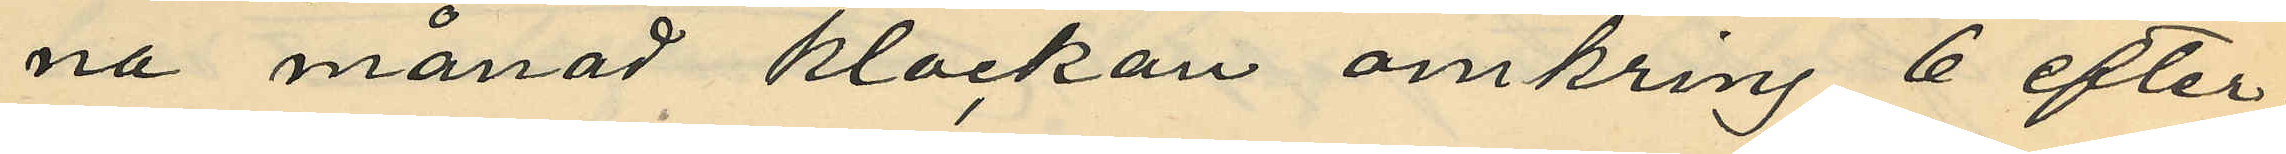na månad klockan omkring 6 efter¬
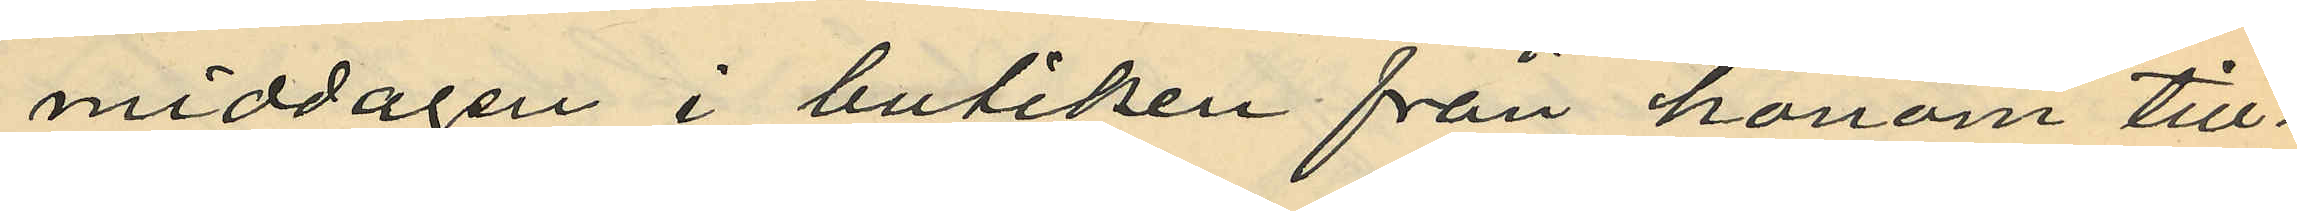middagen i butiken från honom till¬
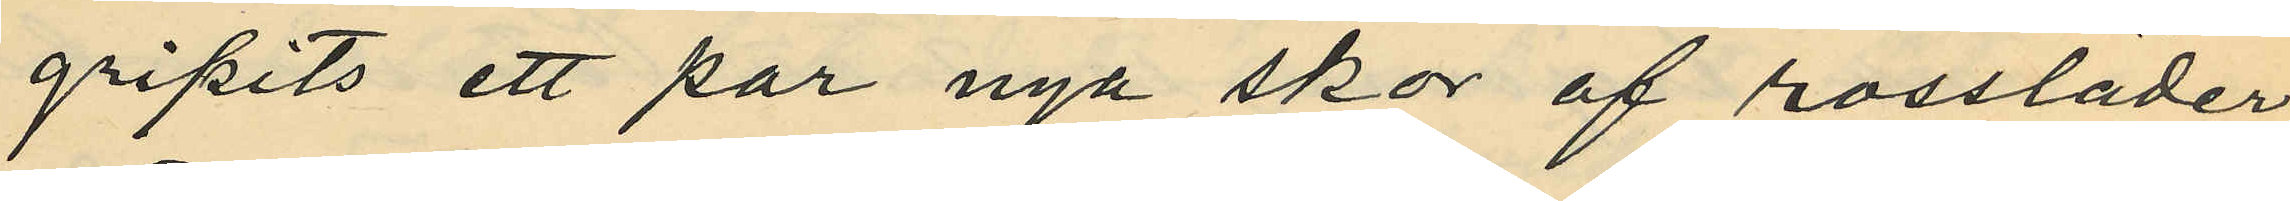gripits ett par nya skor af rossläder
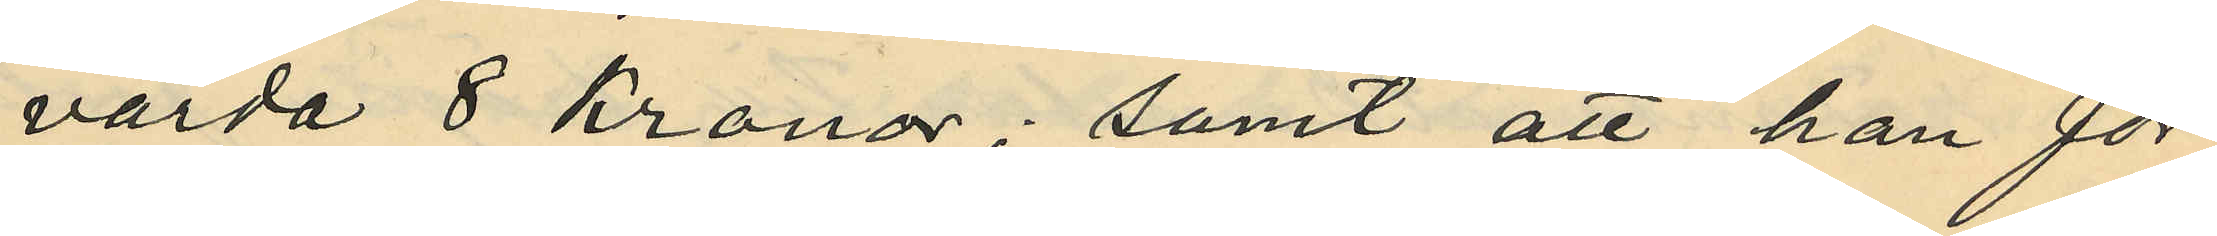värda 8 kronor; samt att han för
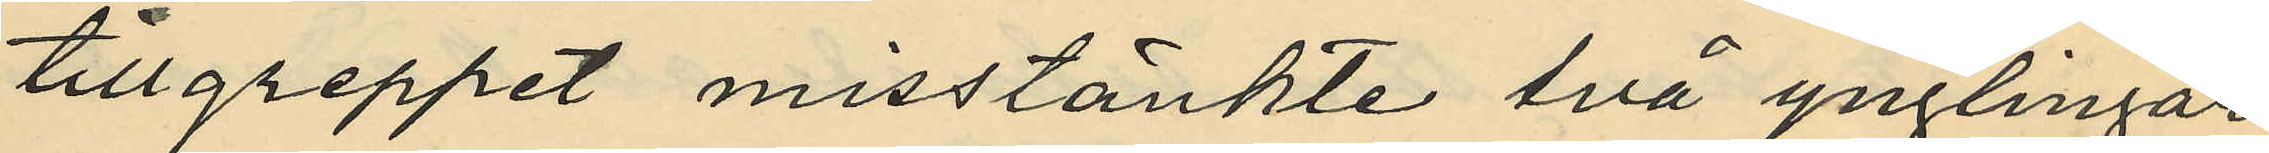tillgreppet misstänkte två ynglingar
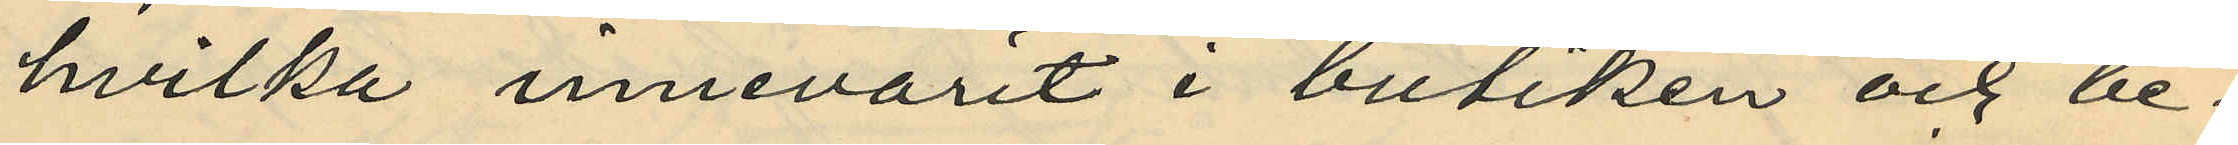hvilka innevarit i butiken och be¬
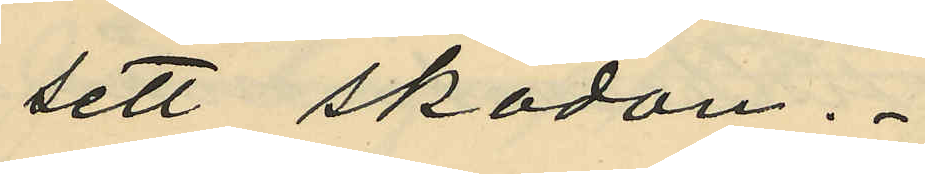sett skodon.
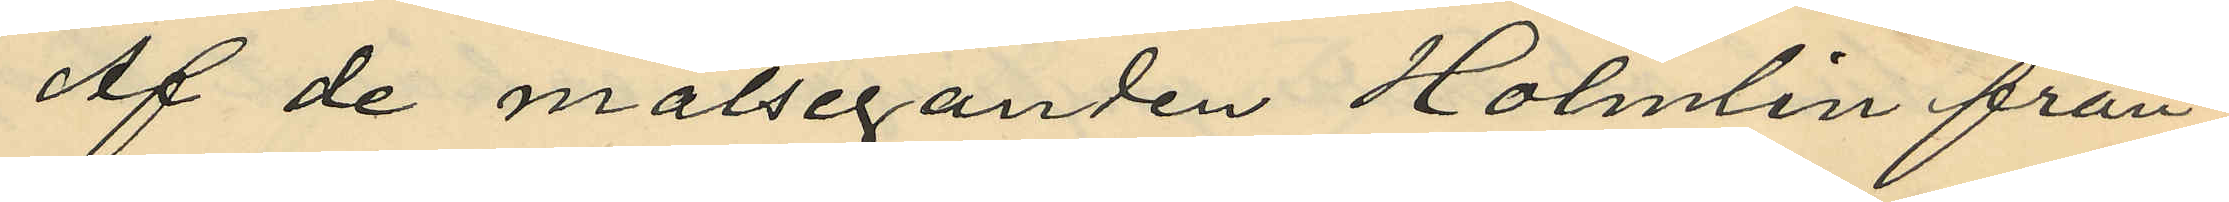Af de målseganden Holmlin från¬
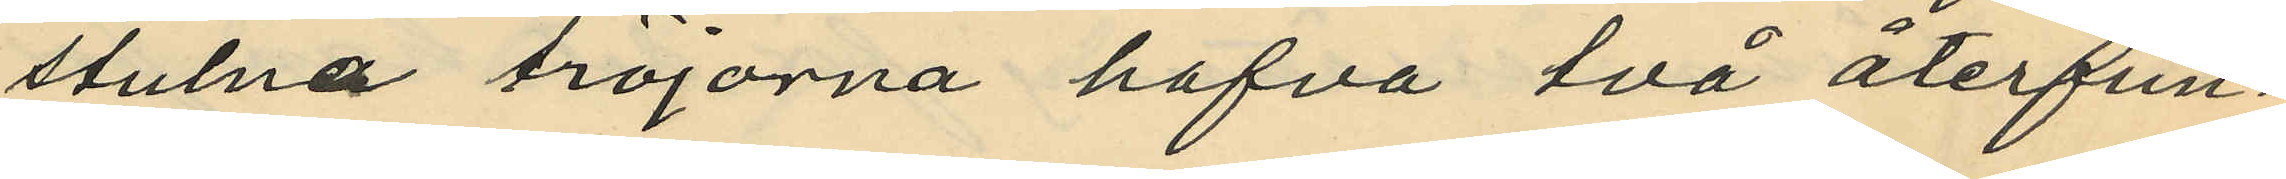stulna tröjorna hafva två återfun¬
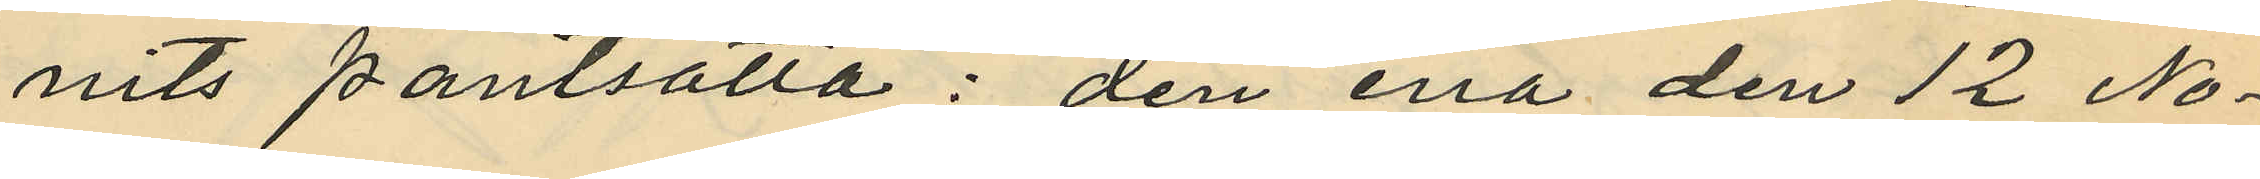nits pantsatta: den ena den 12 No¬
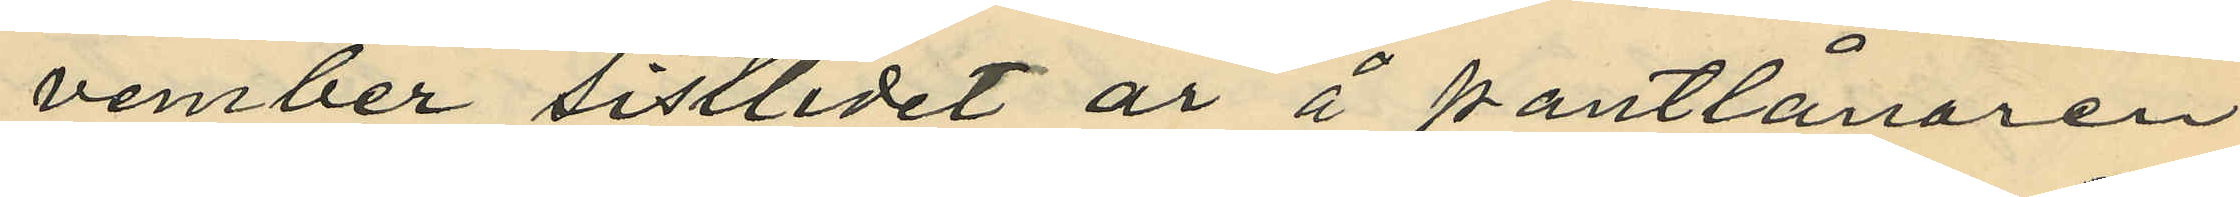vember sistlidet år å pantlånaren
